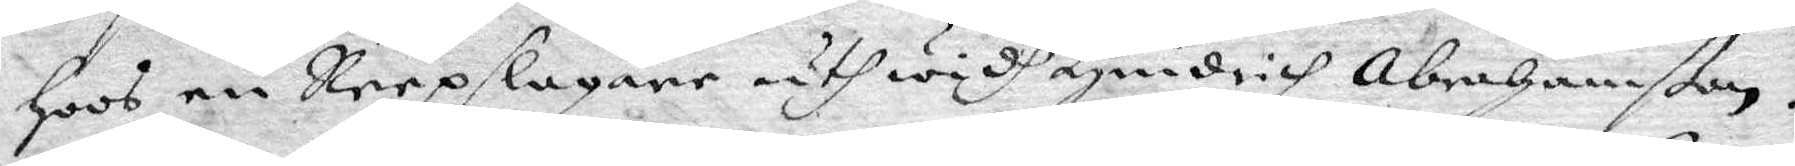Hoos en Reepslagare uthwidh Hindrich Abrahamßon.
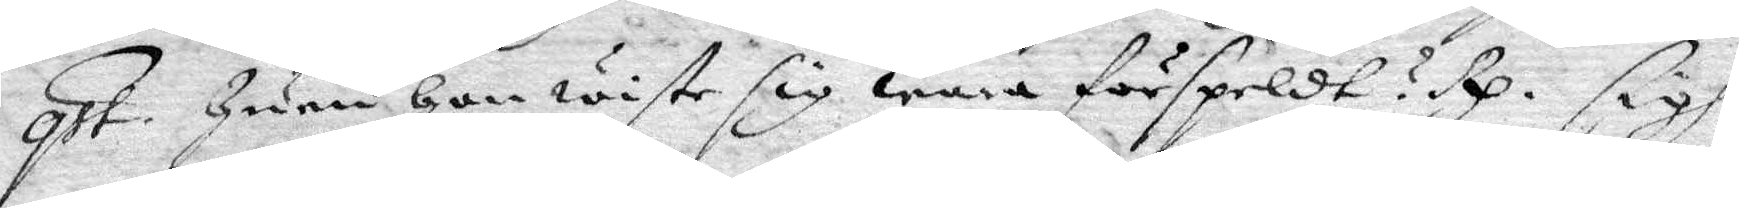qst. Huru Hon wiste sig wara förspeldt? Rp. sigh
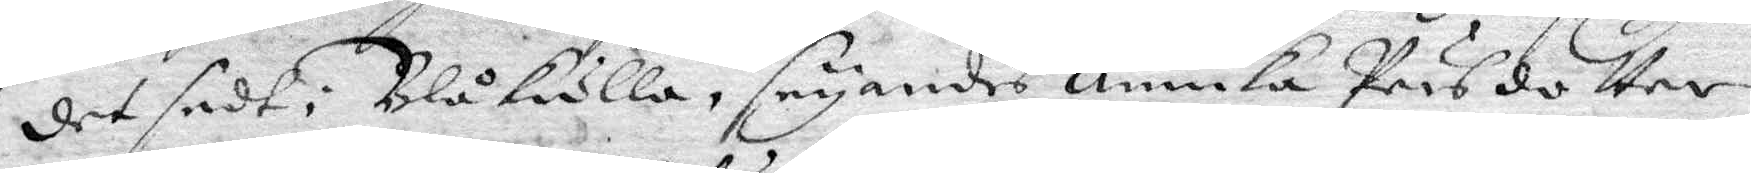det sedt i Blåkulla, seyandes Annika Pärsdotter
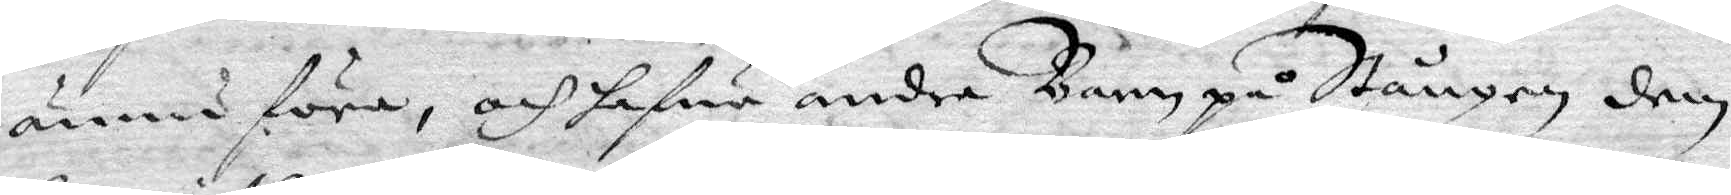ännu före, och hafua andre Barn på Stången, den
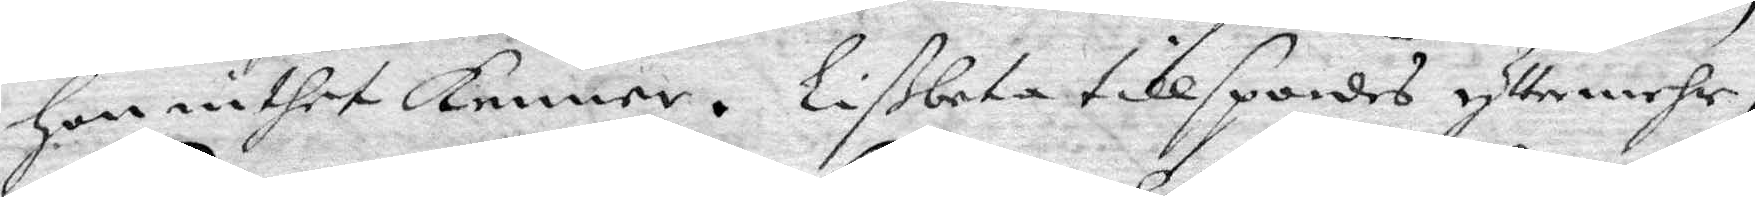Hon inthet kenner. Lißbeta tillspordes yttermerhe,
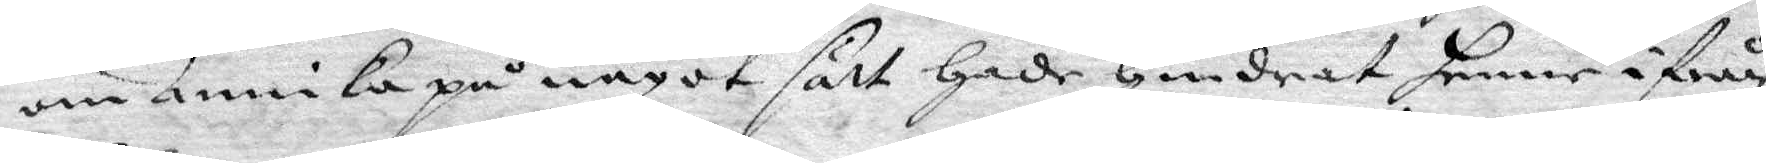om Annika på något sätt Hade Hindrat henne ifrån
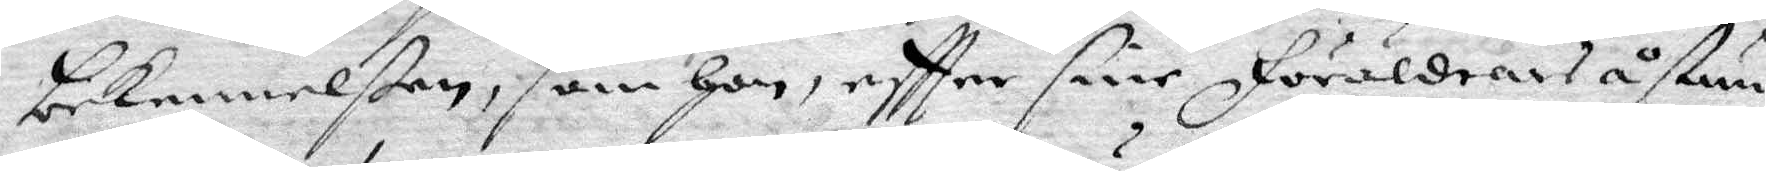bekennelßen, som Hon eftter sine föräldrars åstun¬
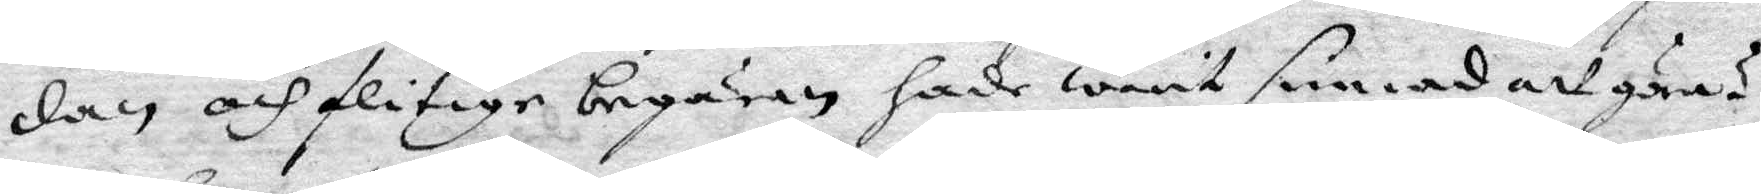dan och flitige begäran hade warit sinnad att göra?
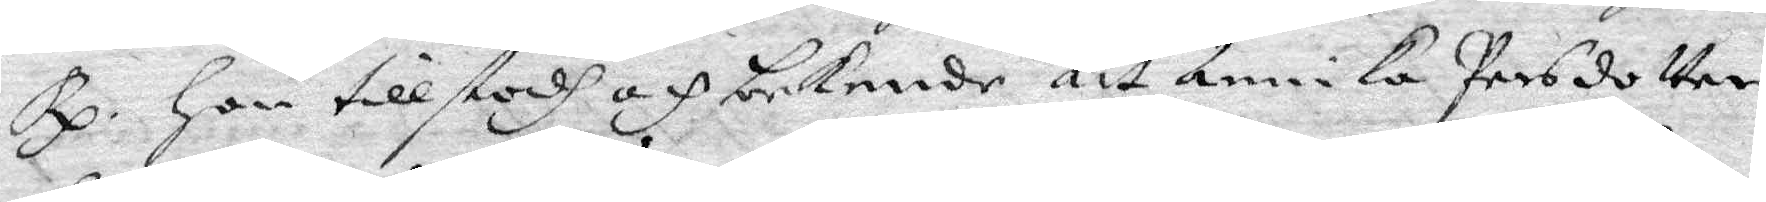Rp. Hon tillstodh och bekende att Annika Persdotter
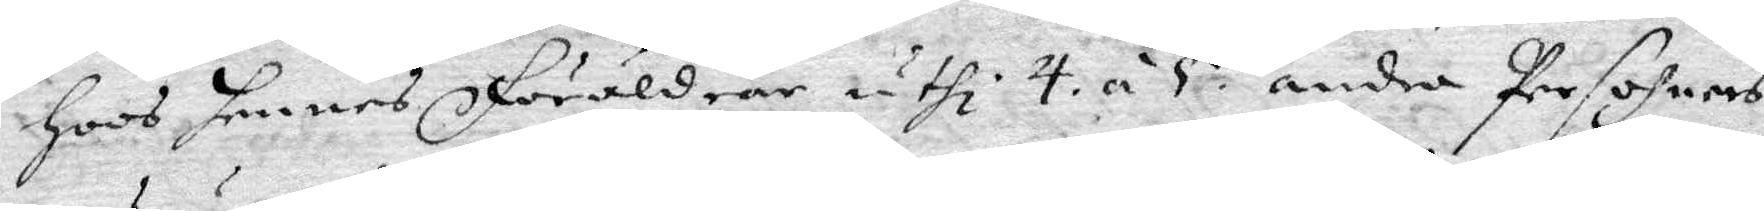Hoos hennes föräldrar uthi 4 á 5 andra Persohners
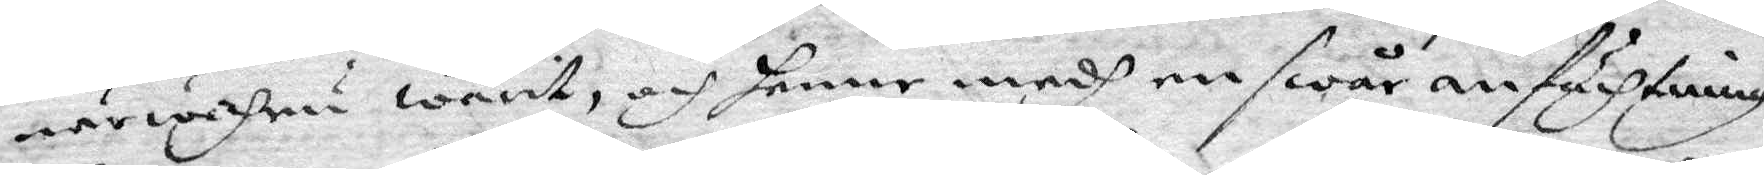närwahru warit, och henne medh en swår anfächtning
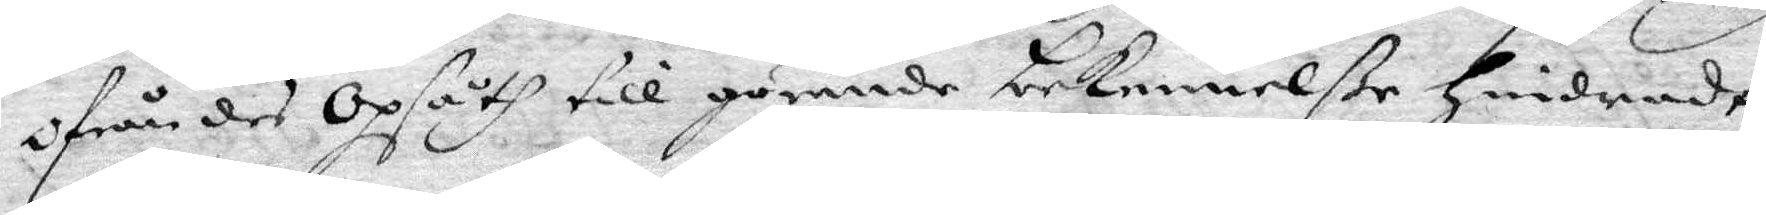Ofrån des Opsåth till görende bekennelße Hindradt,
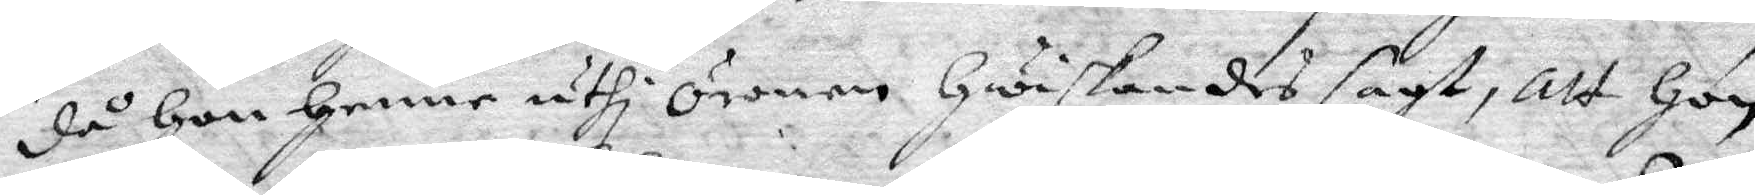då Hon Henne uthi Öronen Hwiskandes sagt, att Hon
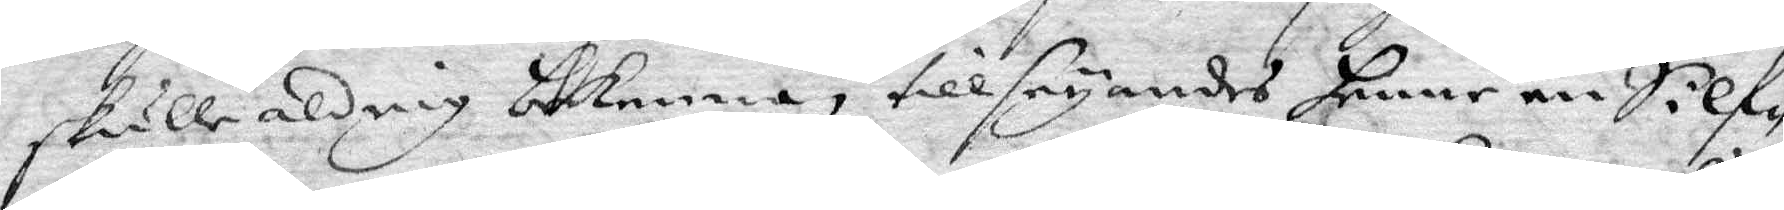skulle aldrig bekenna, tillseyandes henne en Silf¬
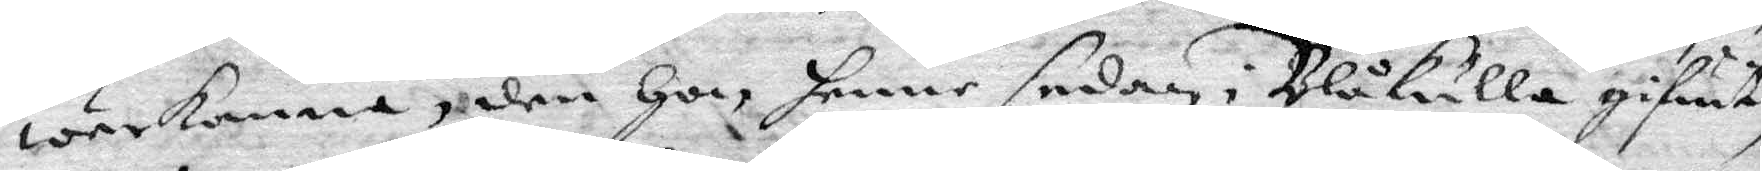werkanna, den Hon, henne sedan i Blåkulla gifuet,
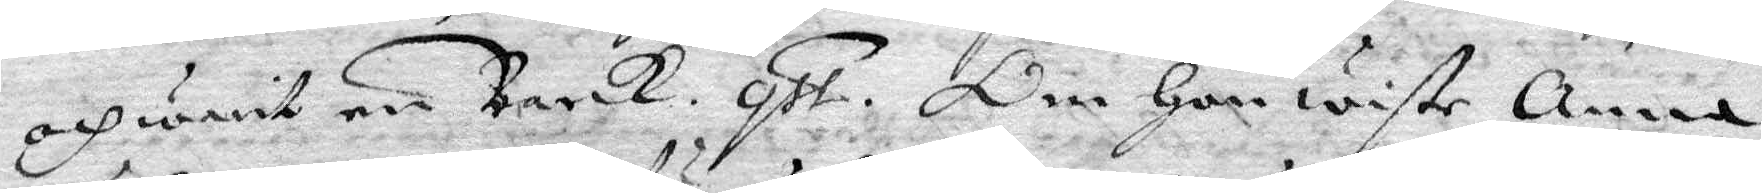och warit en Barck. qst. Om Hon wiste Anna
